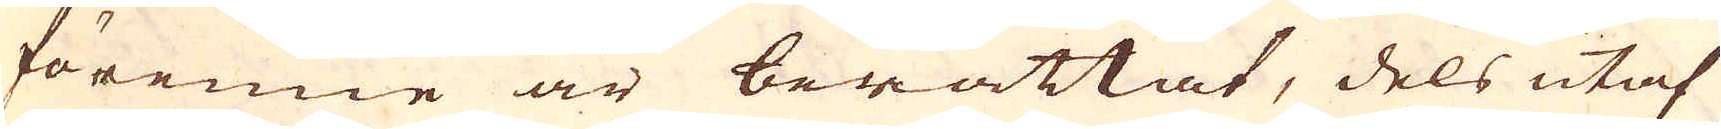förenne är berättat, dels utaf
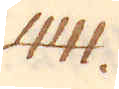441.
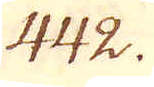442.
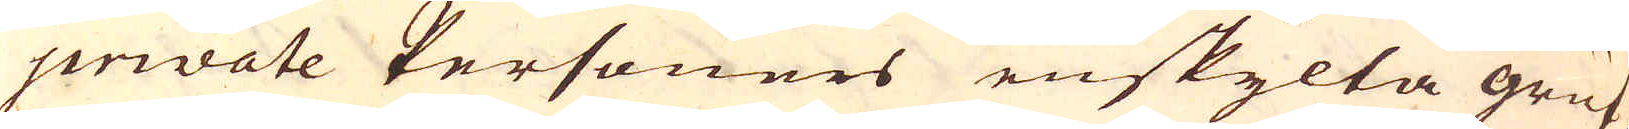private Personers enskylta gruf-
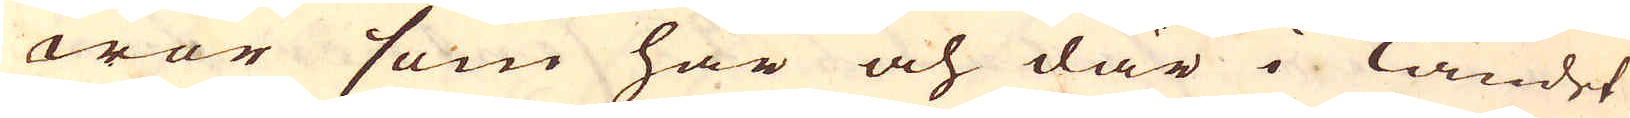wor som här och där i Landet
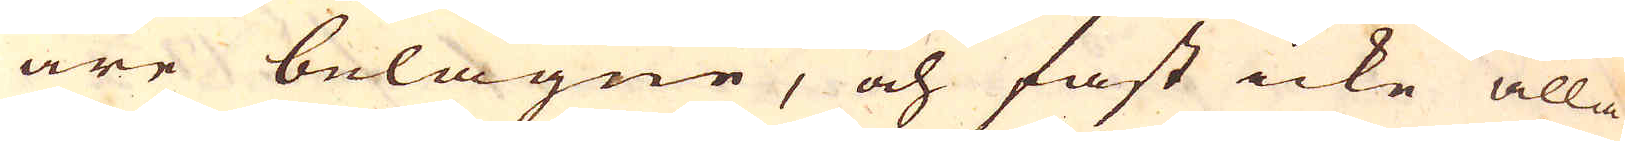äre belägne, och fast icke alla
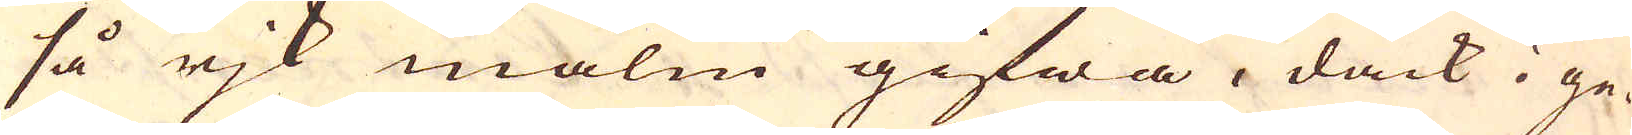så rjk malm gifwa, dåck i ge-
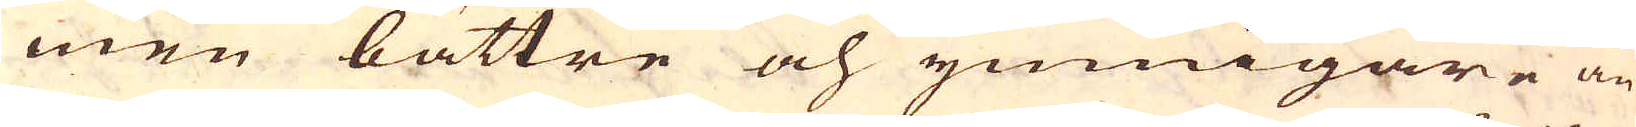men bättre och ymnigare än
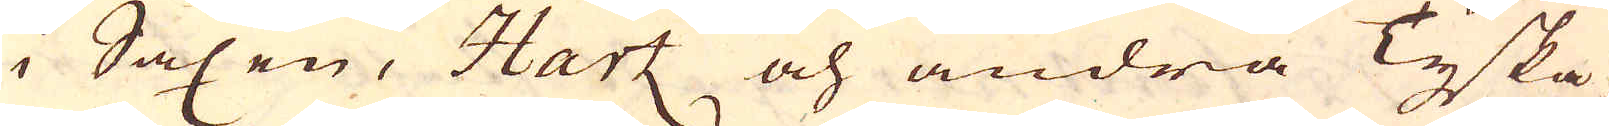i Saxen, Hartz och andra Tyska
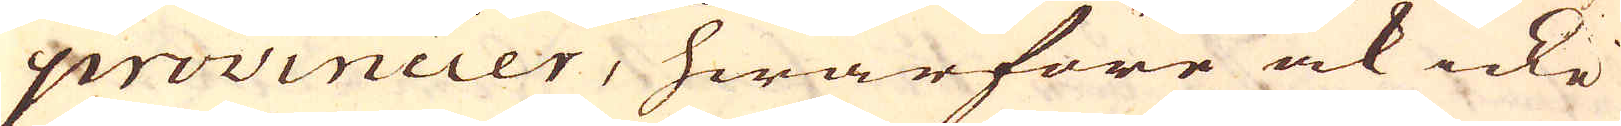provincier, hwarföre ock icke
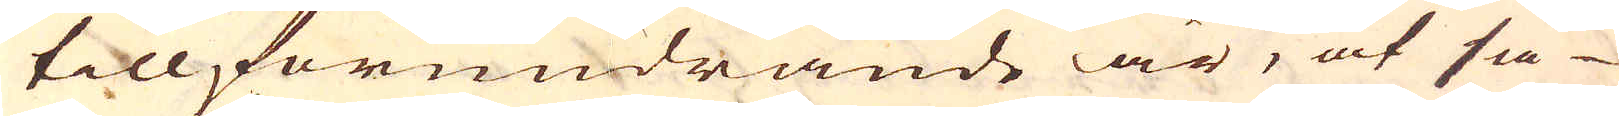till förundrande är, at så
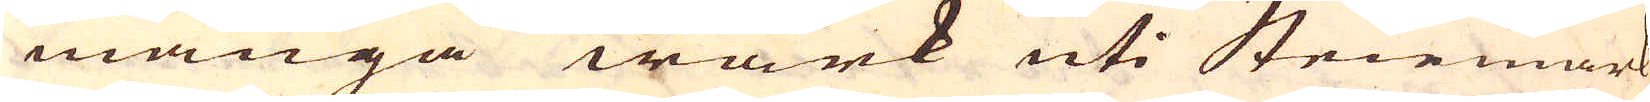många wärk uti Steirmark
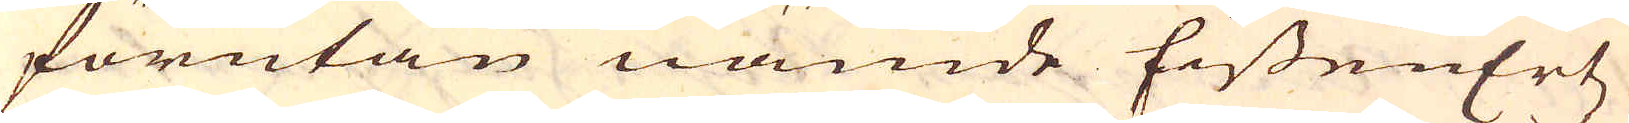förutan nämde EissenErtz
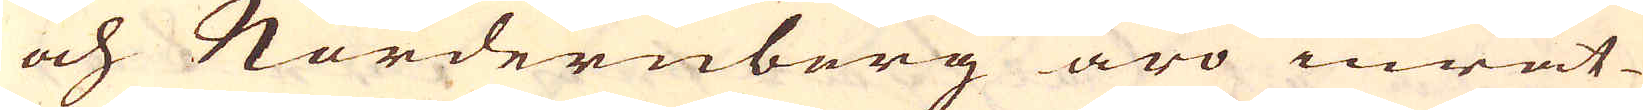och Nordernberg äro inrät-
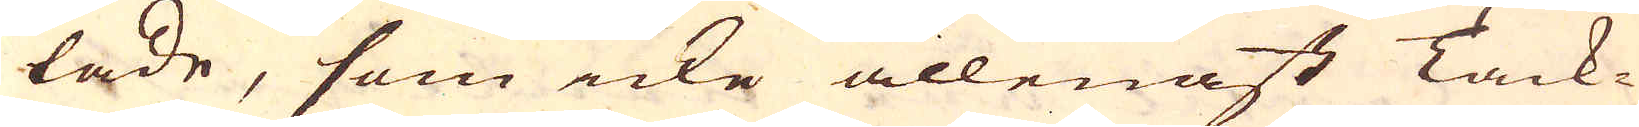tade, som icke allenast Tack-
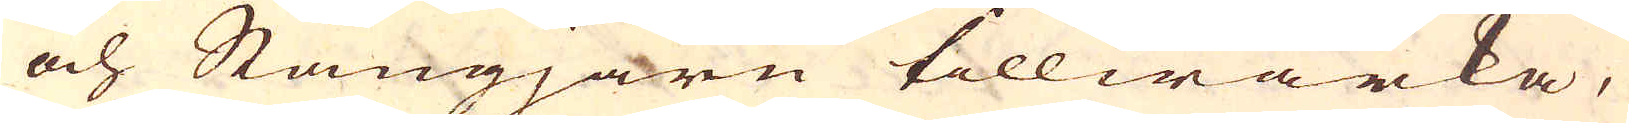och Stångjärn tillwärka,
